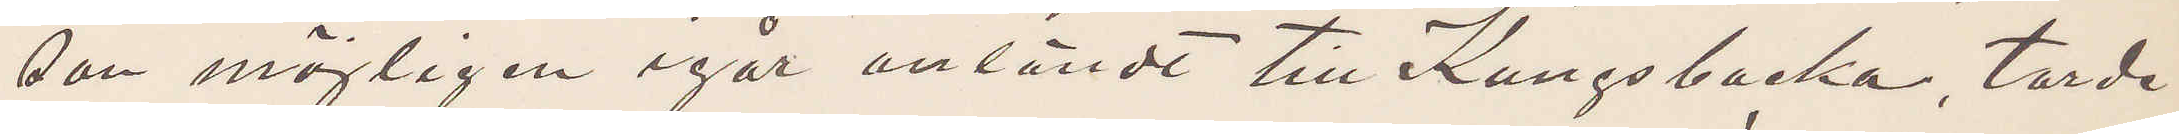son möjligen igår anländt till Kungsbacka, torde
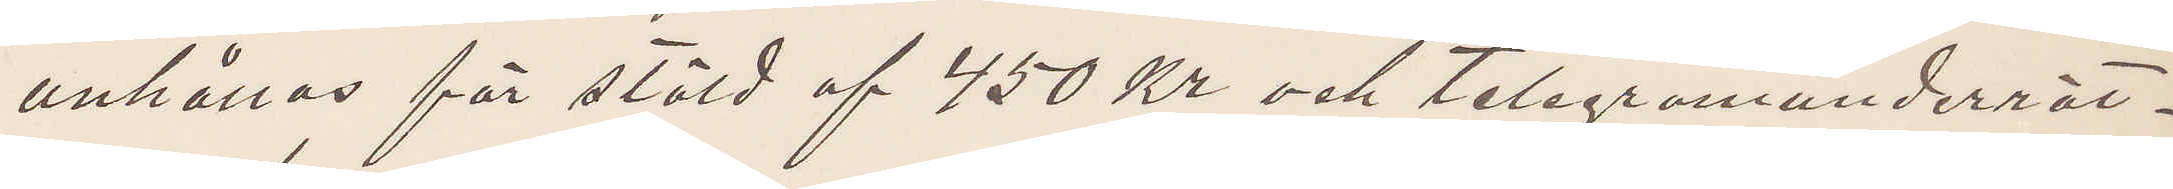anhållas för stöld af 450 Kr och telegramunderrät¬
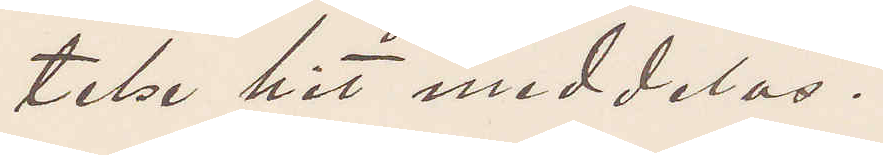telse hit meddelas.
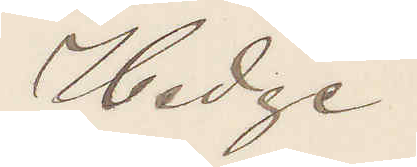Hedge.
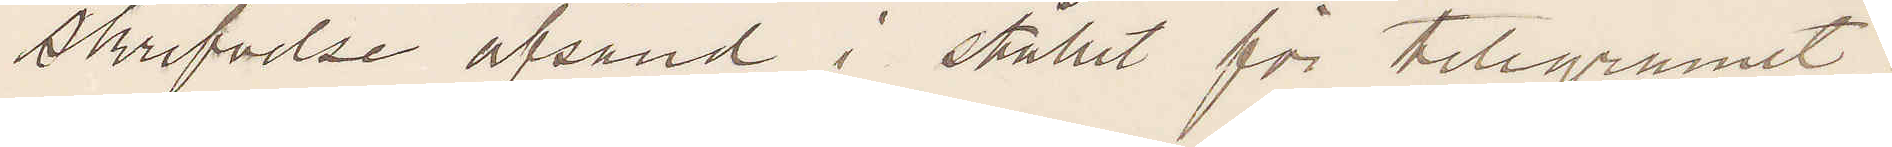Skrifvelse afsänd i stället för telegramet.
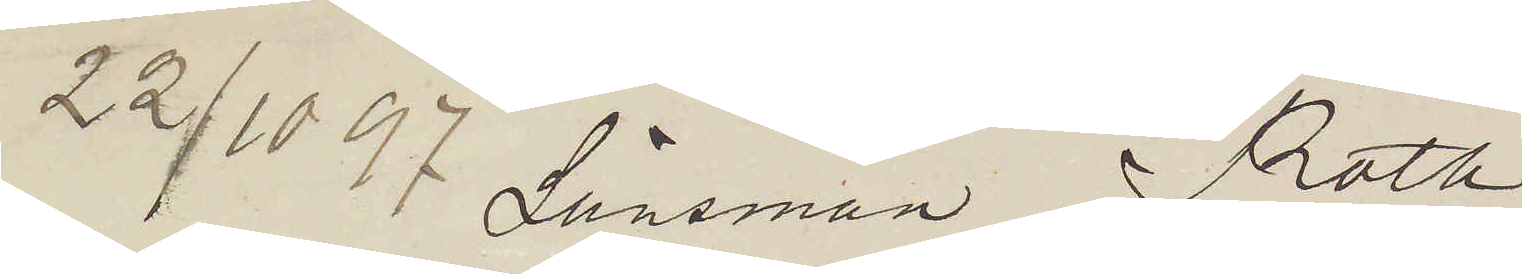22/10 97 Länsman Roth.
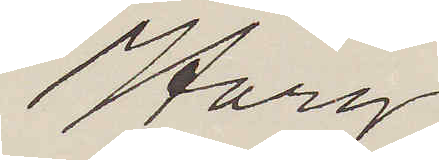Harg.
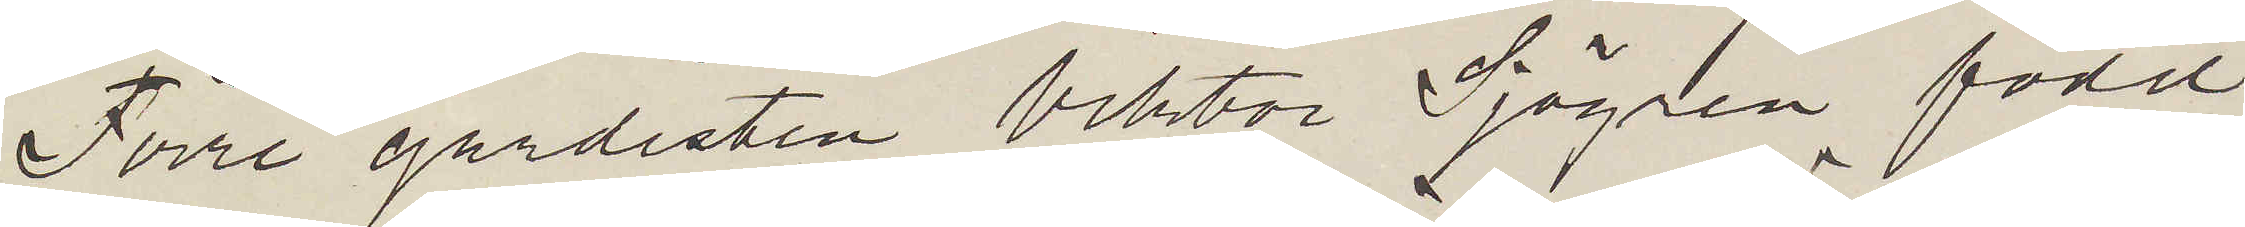Förre gardisten Viktor Sjögren född
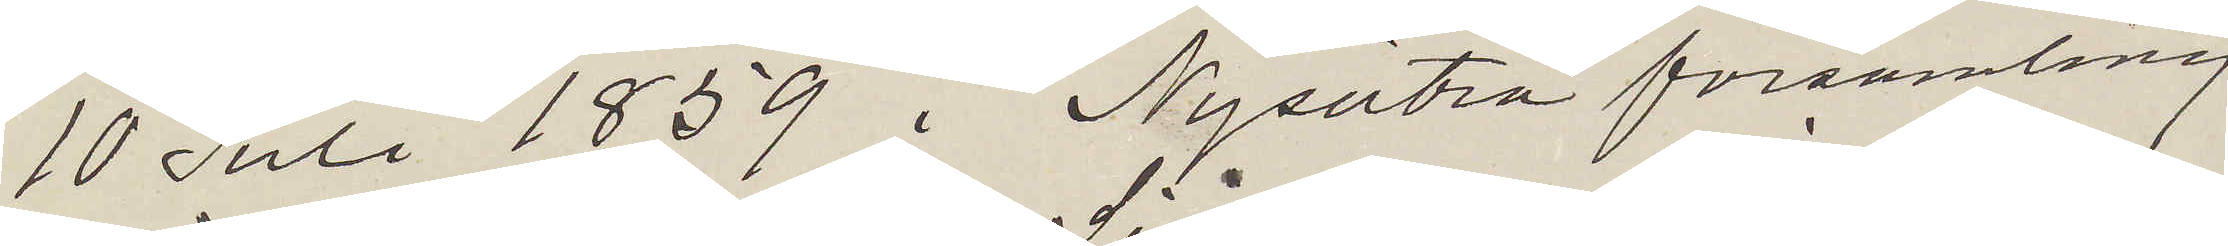10 Juli 1859 i Nysätra församling
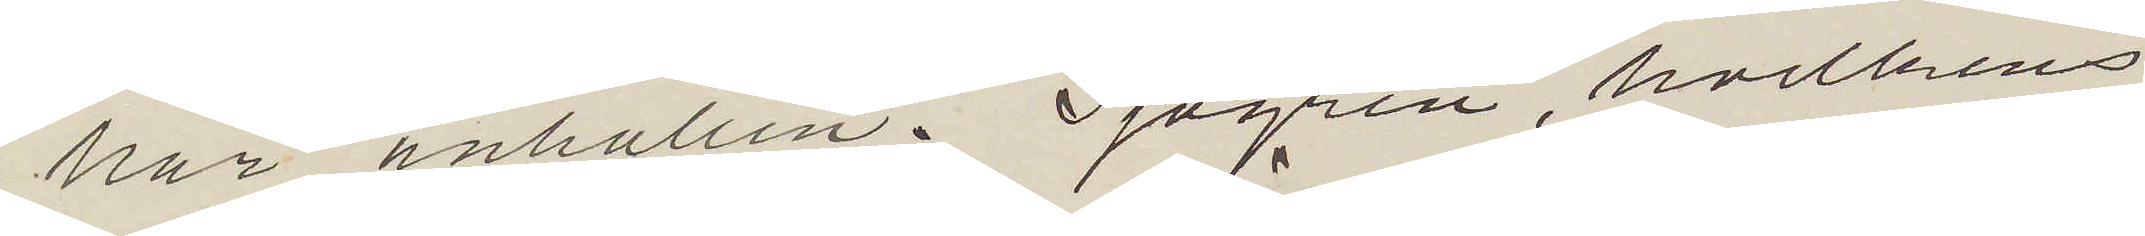här anhållen. Sjögren, hvilkens
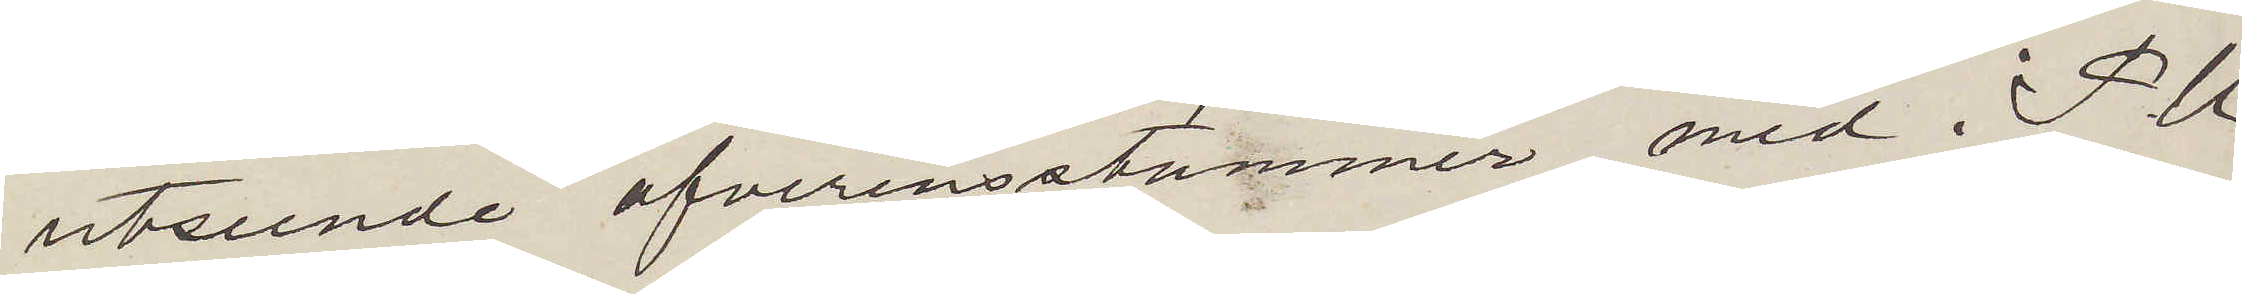utseende öfverrensstämmer med i P. U.
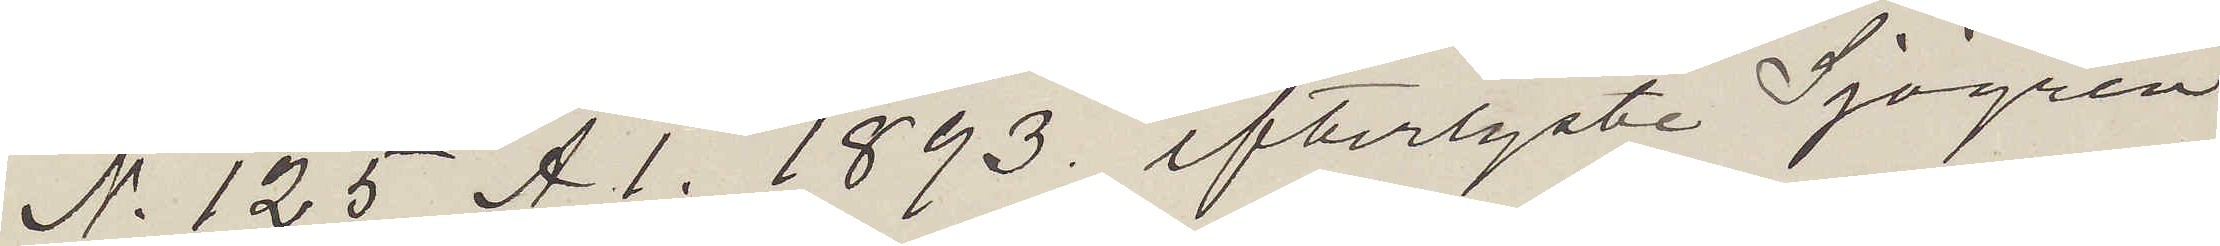N. 125 A 1. 1893 efterlyste Sjögren,
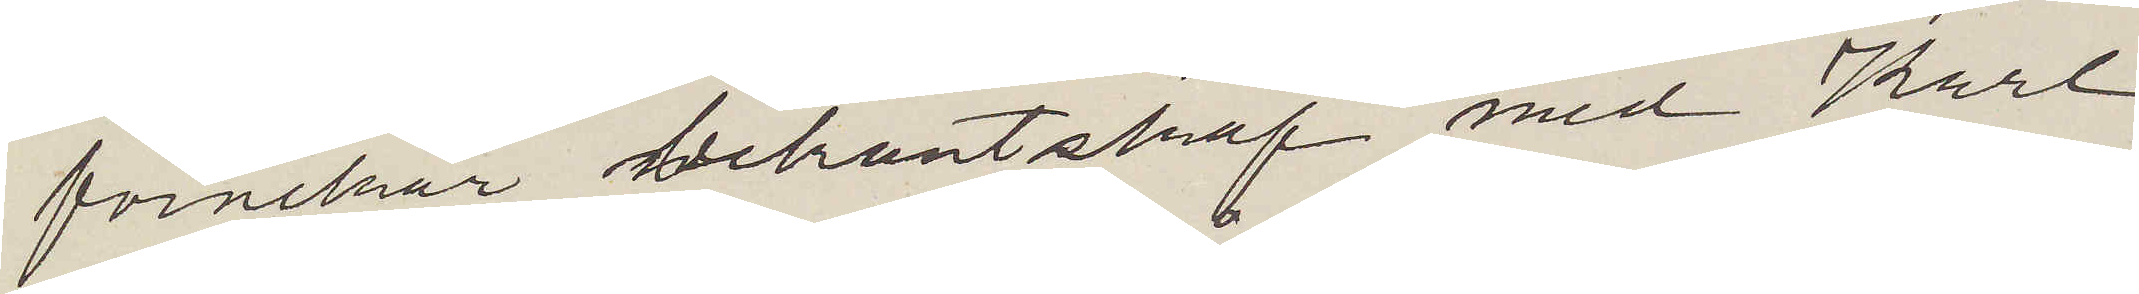förnekar bekantskap med Karl
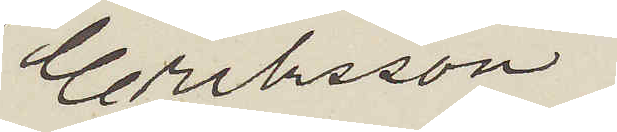Eriksson,
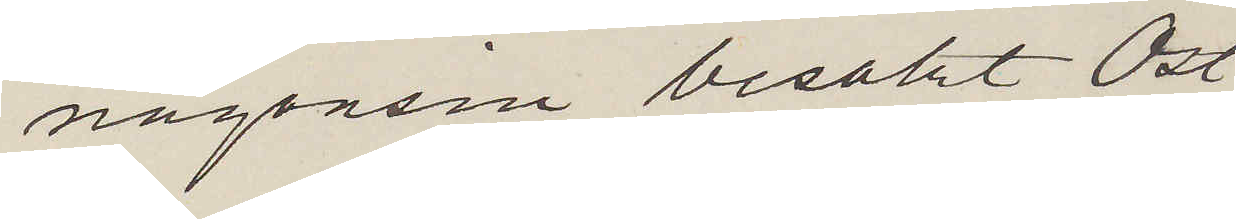någonsin besökt Öst¬
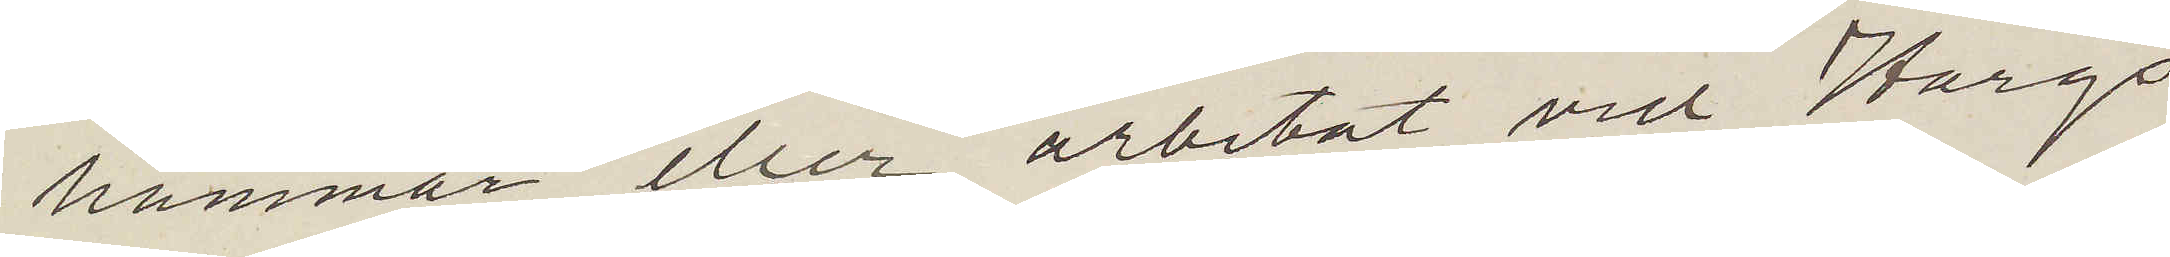hammar eller arbetat vid Hargs
